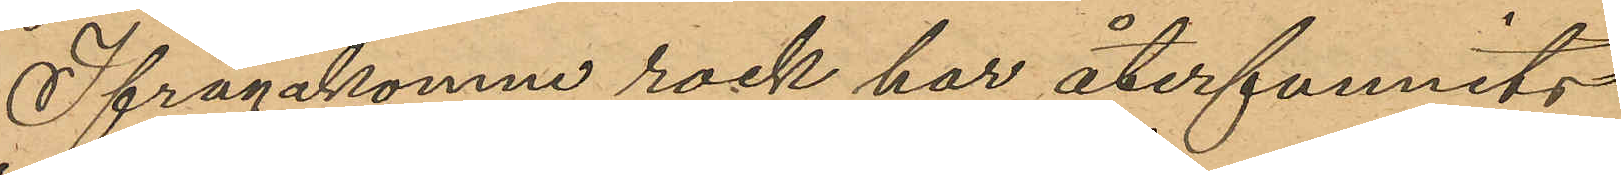Ifrågakomne rock har återfunnits
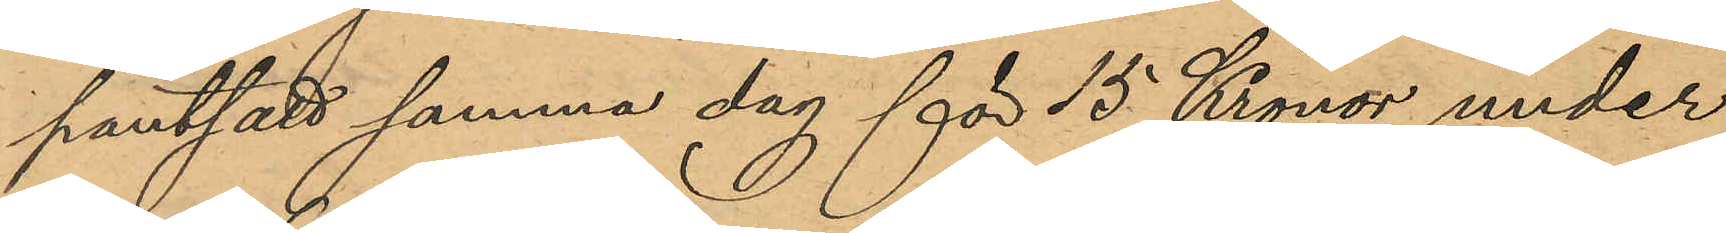pantsatt samma dag för 15 Kronor under
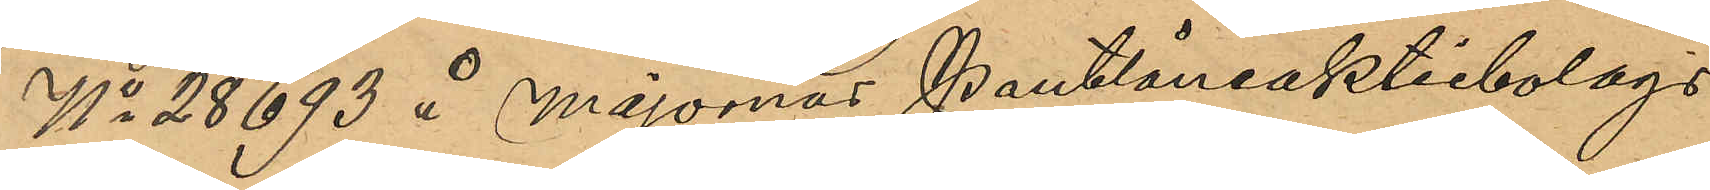No 28693 å majornas Pantlåneaktiebolags
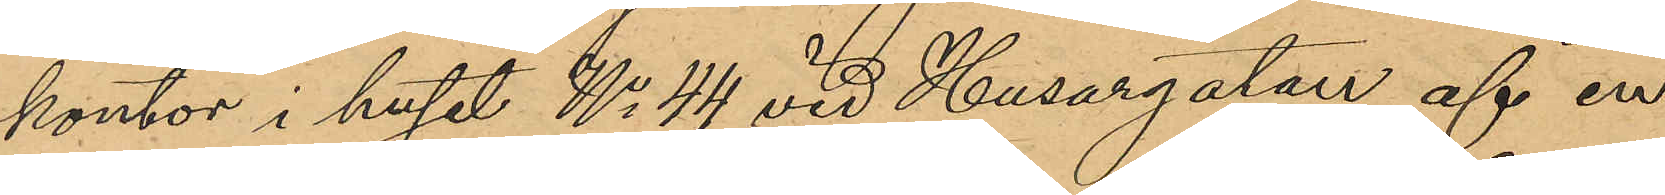kontor i huset No 44 vid Husargatan af en
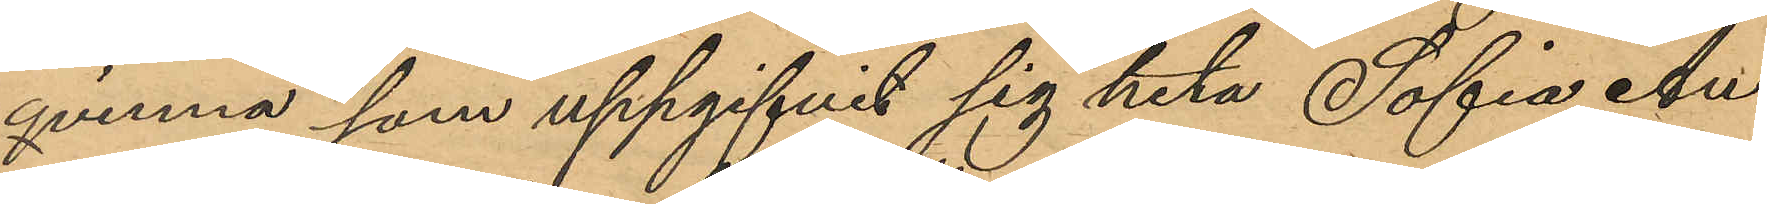qvinna som uppgifvit sig heta Sofia An¬
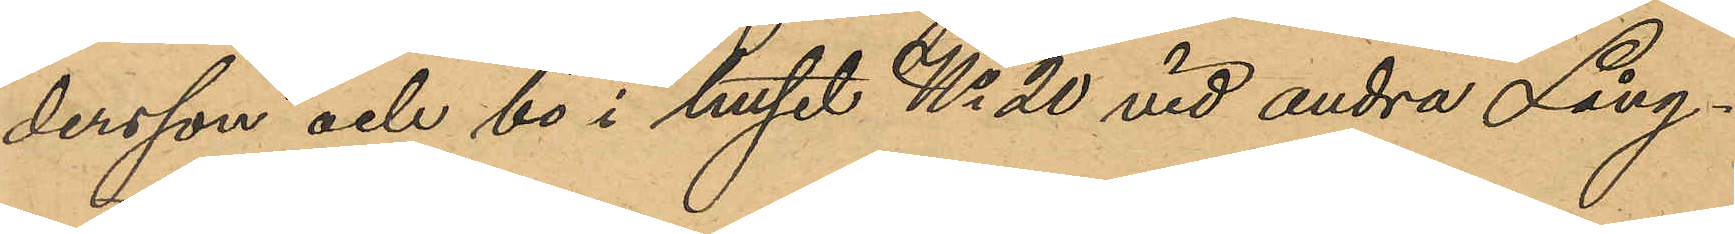dersson och bo i huset No 20 vid andra Lång¬
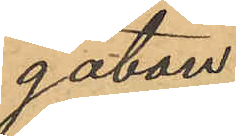gatan.
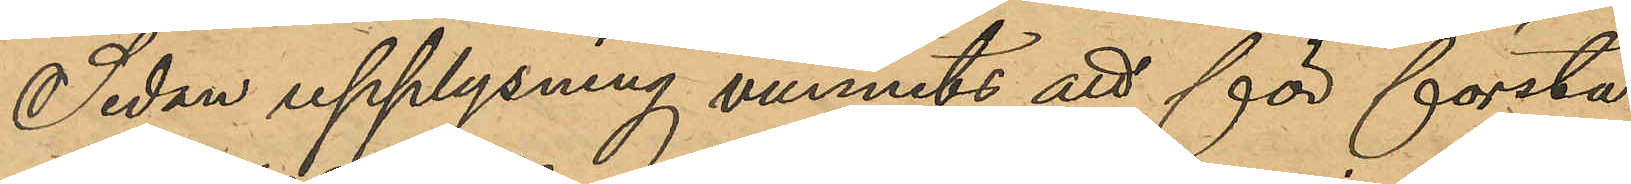Sedan upplysning vunnits att för första
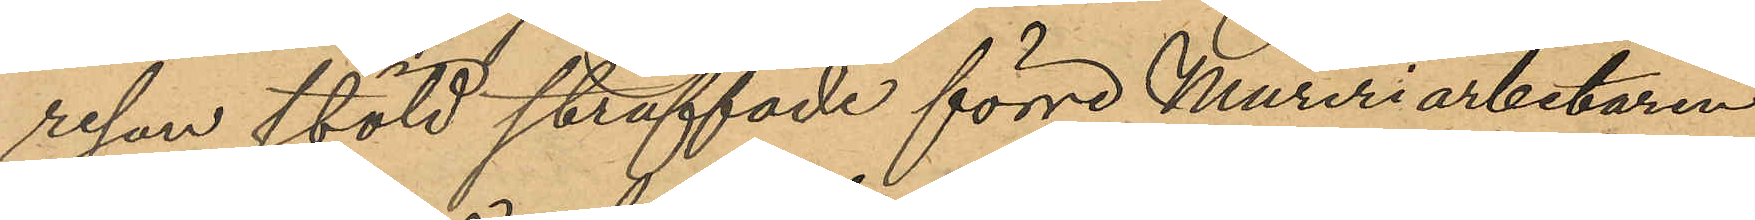resan stöld straffade förre Mureriarbetaren
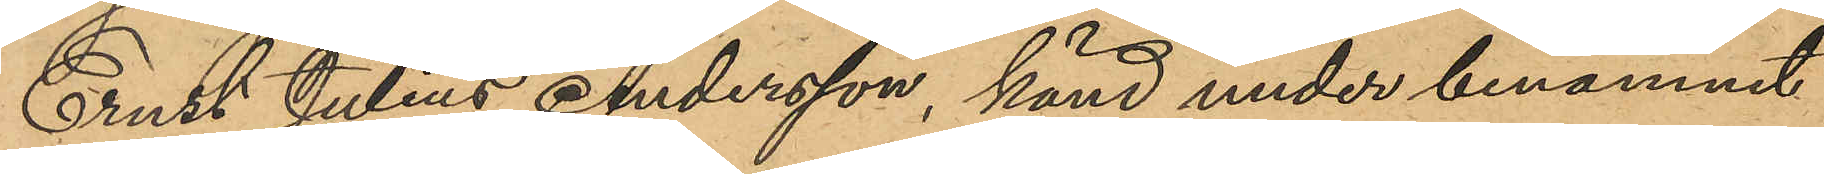Ernst Julius Andersson, känd under binamnet
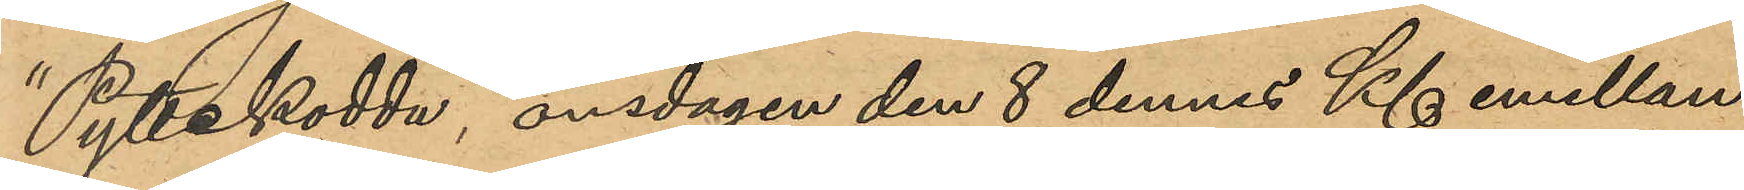"Pyttekodda", onsdagen den 8 dennes Kl emellan
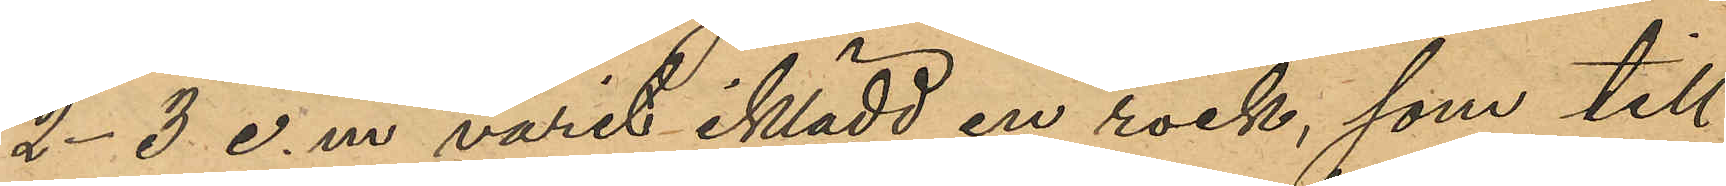2-3 e.m. varit iklädd en rock, som till
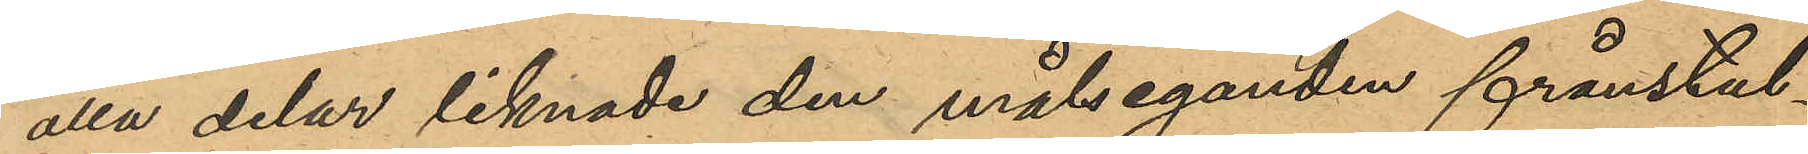alla delar liknade den målseganden frånstul¬
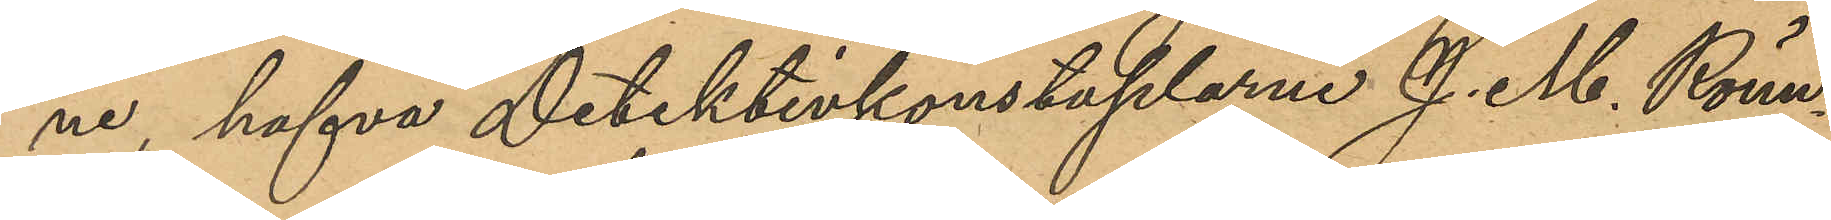ne, hafva Detektivkonstaplarna J. M. Rönn¬
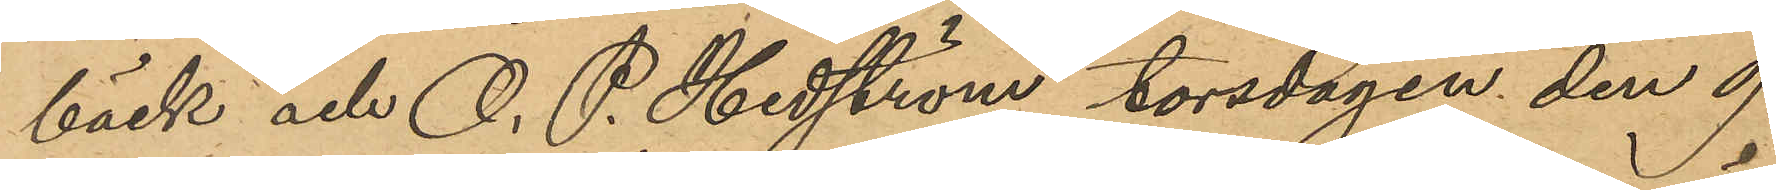bäck och O. P. Hedström torsdagen den 9
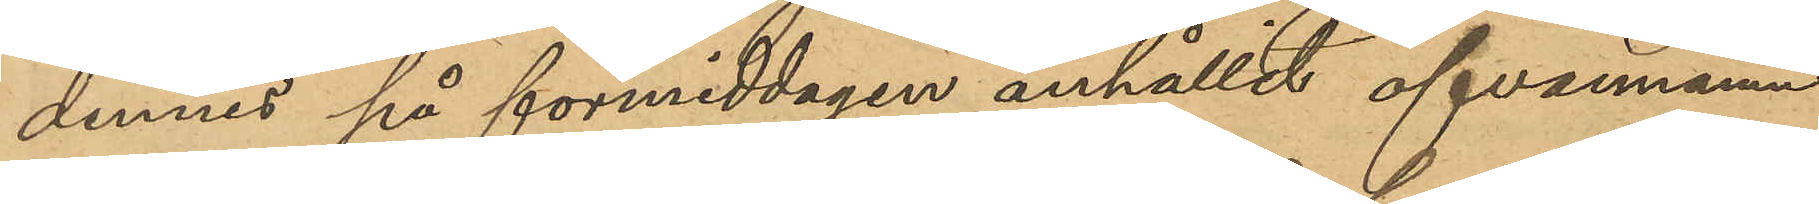dennes på förmiddagen anhållit ofvannämn¬
